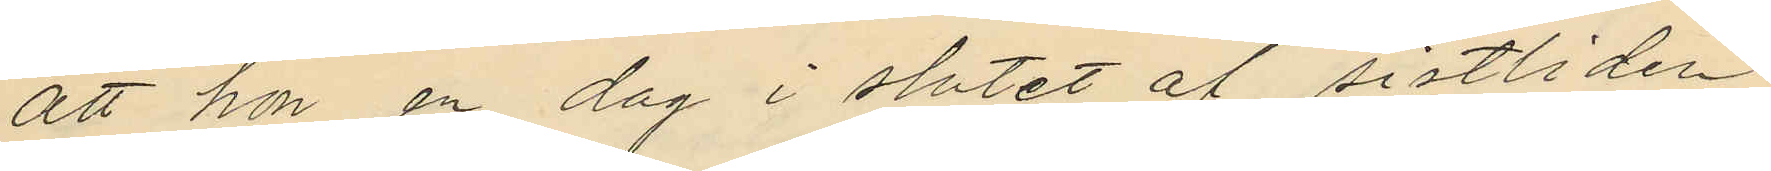att hon en dag i slutet af sistliden
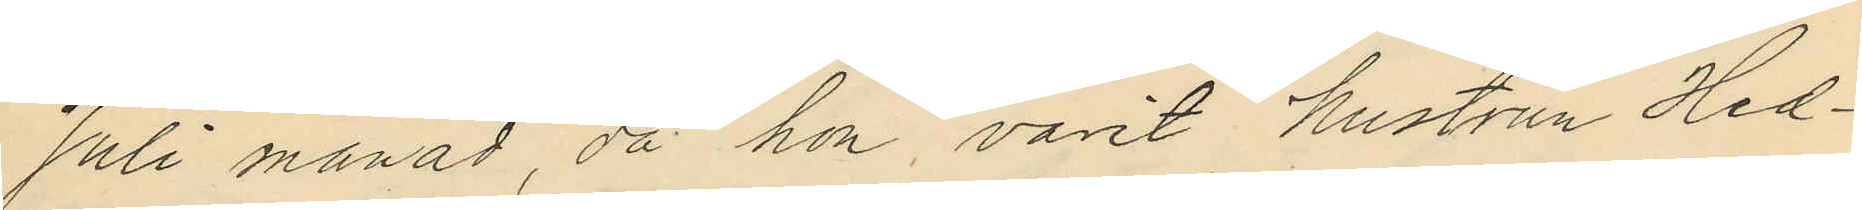Juli månad, då hon varit hustrun Hed¬
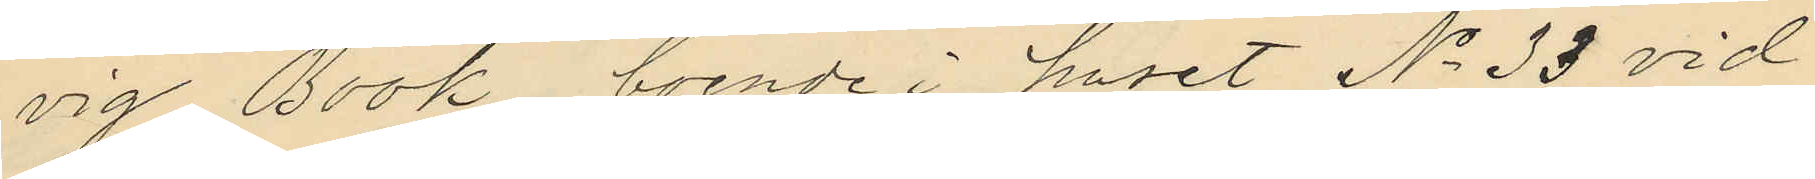vig Book, boende i huset No 33 vid
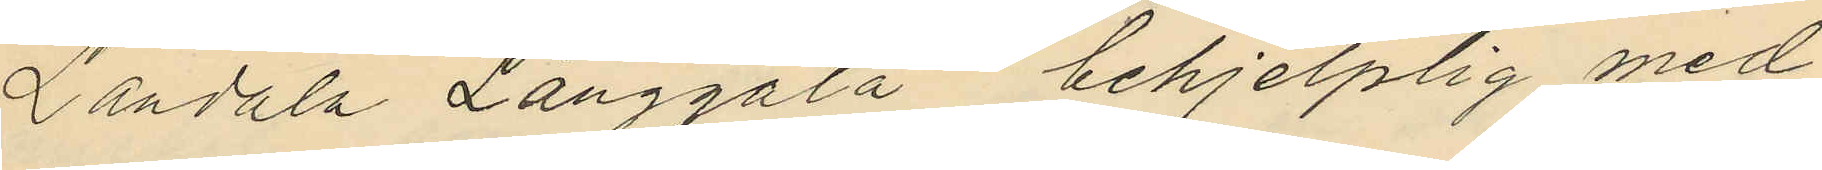Landala Långgata behjelplig med
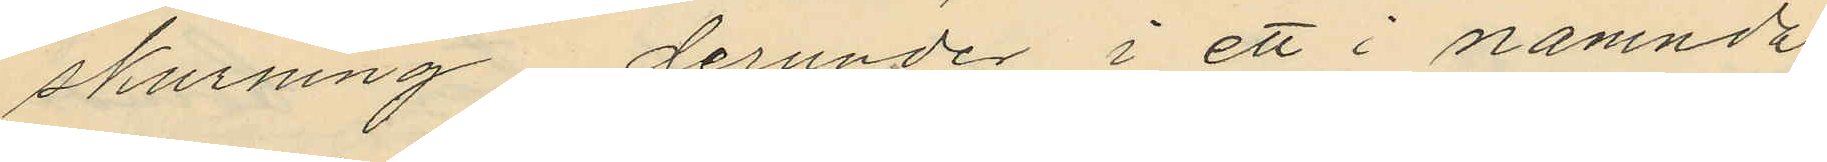skurning derunder i ett i nämnda
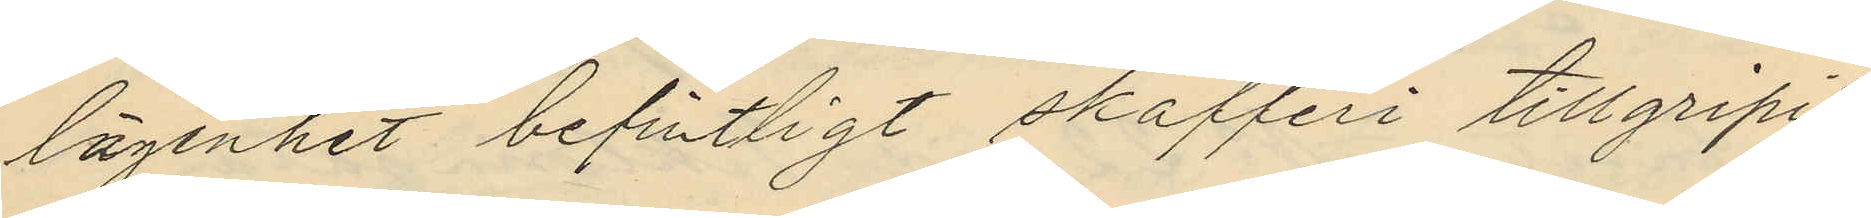lägenhet befintligt skafferi tillgripit
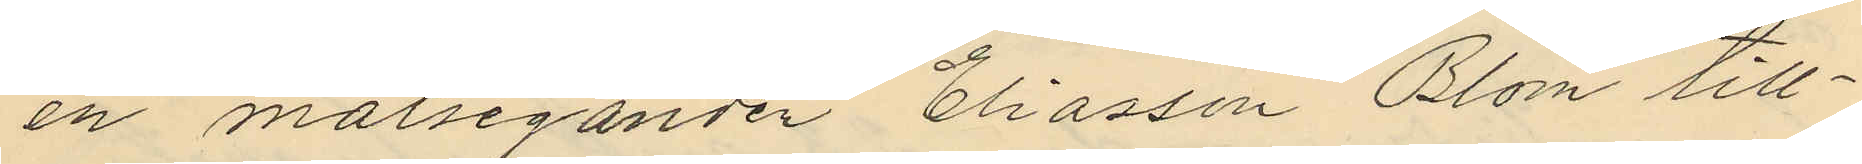en målseganden Eliasson Blom till¬
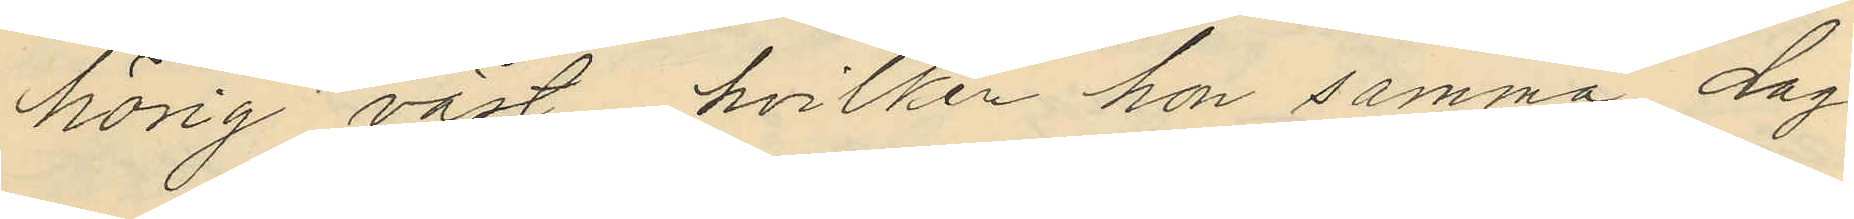hörig väst, hvilken hon samma dag
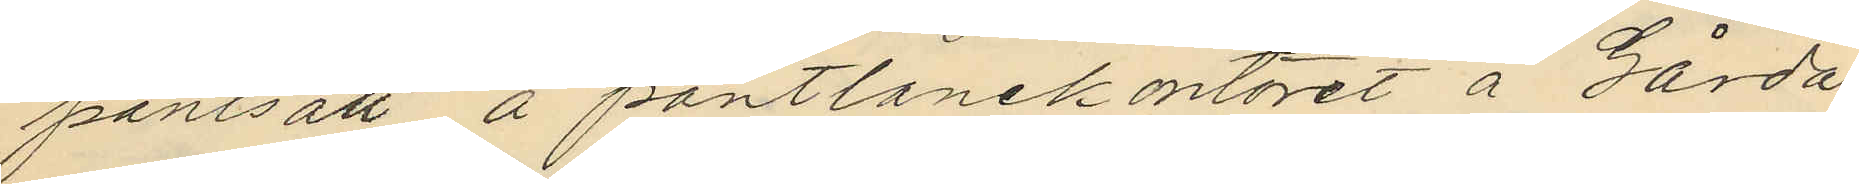pantsatt å pantlånekontoret å Gårda
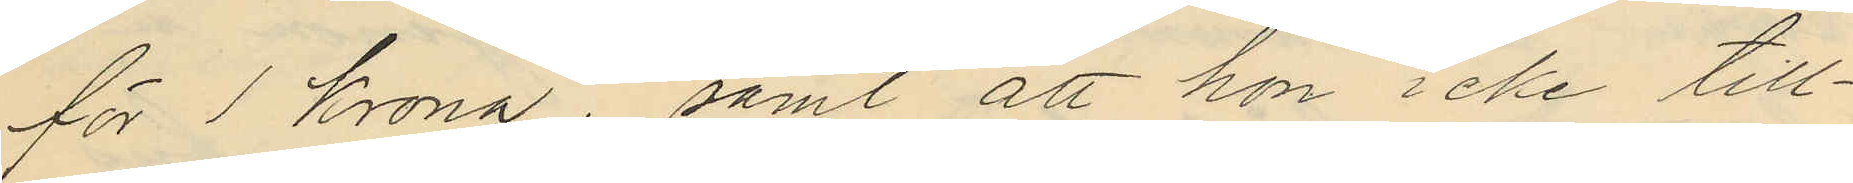för 1 krona; samt att hon icke till¬
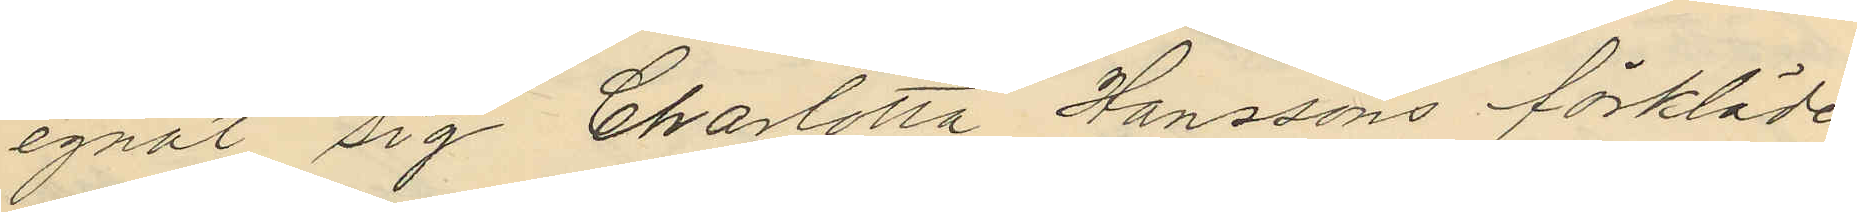egnat sig Charlotta Hanssons förkläde
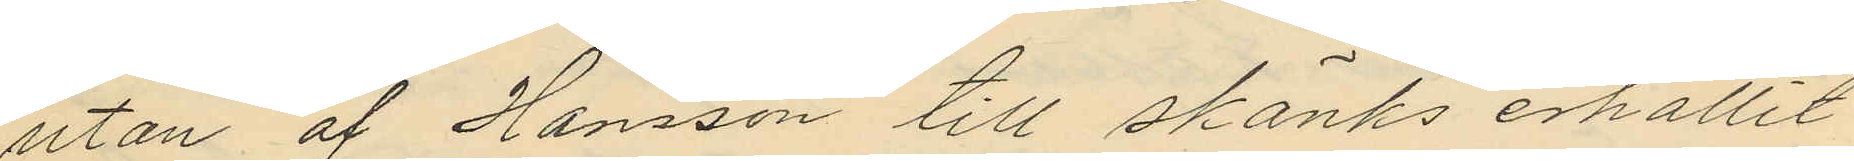utan af Hansson till skänks erhållit
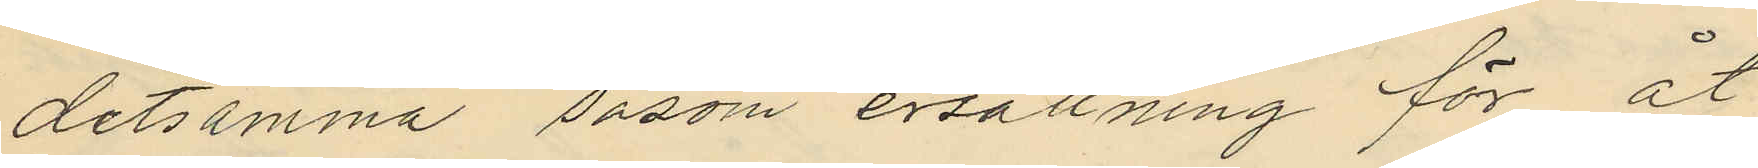detsamma såsom ersättning för åt
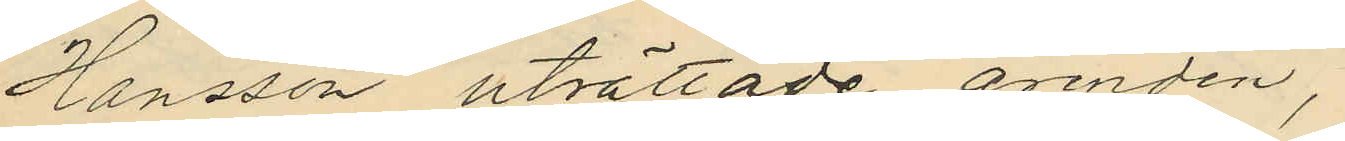Hansson uträttade ärenden,
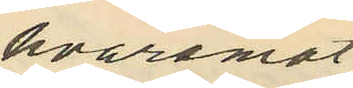hvaremot
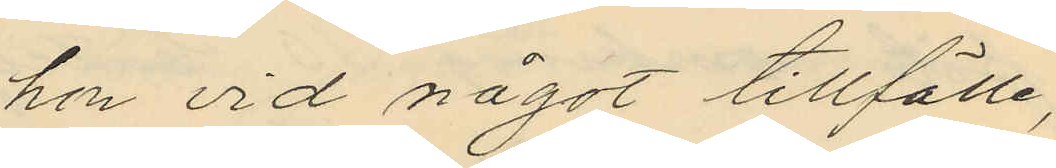hon vid något tillfälle,
